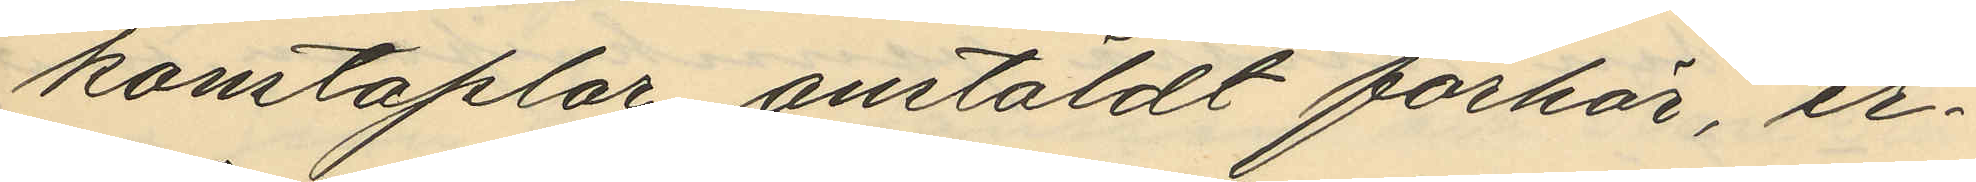konstaplar anstäldt förhör, er¬
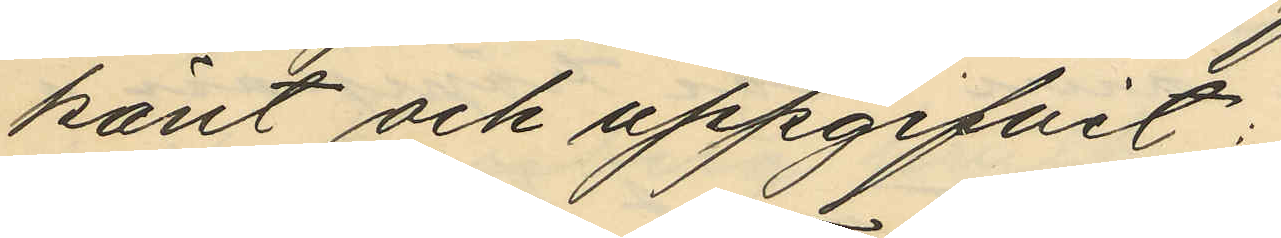känt och uppgifvit:
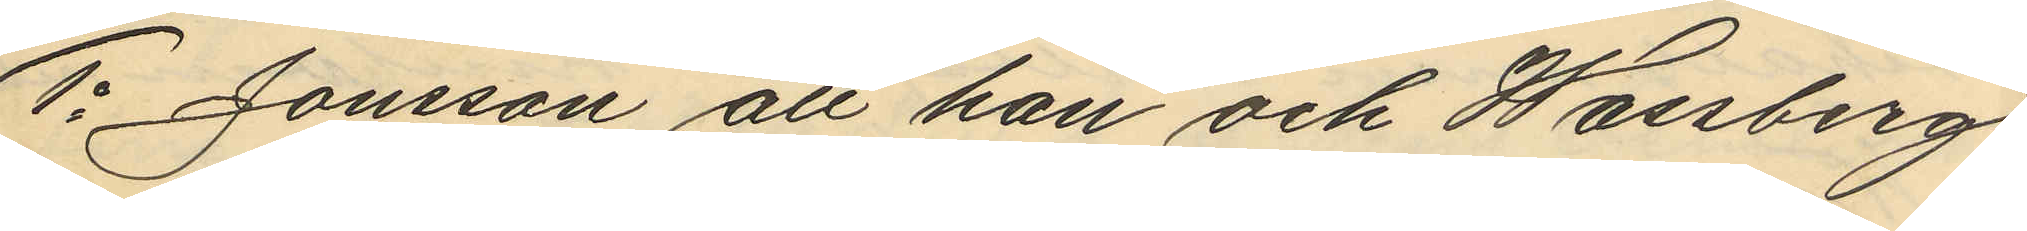1o Jönsson att han och Wassberg
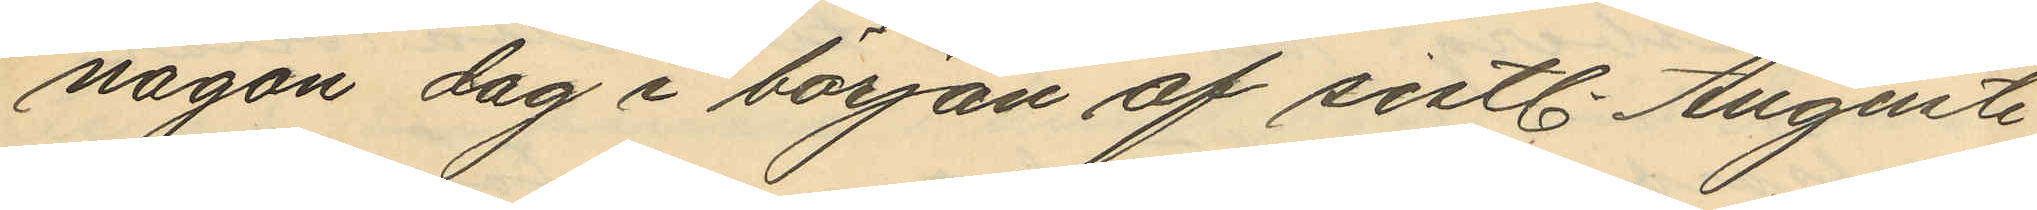någon dag i början af sistl. Augusti
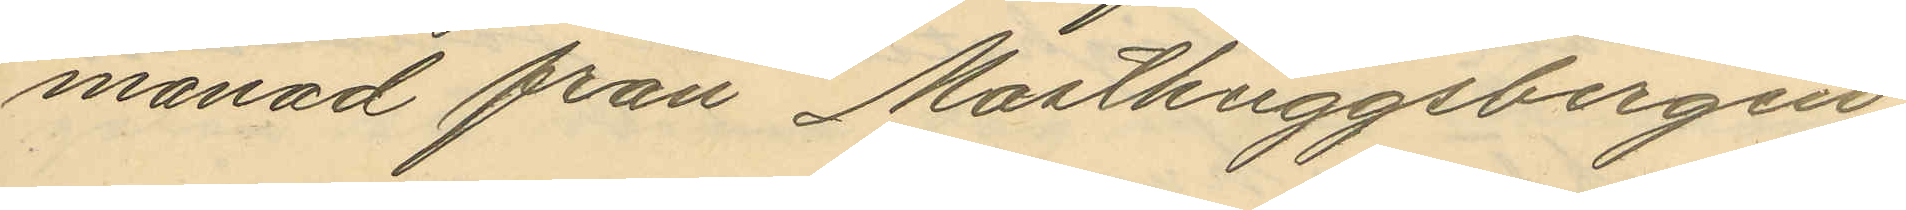månad från Masthuggsbergen
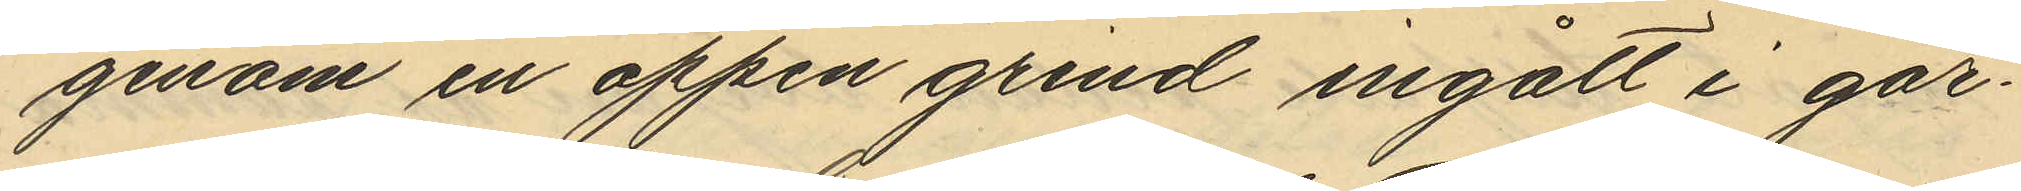genom en öppen grind ingått i går¬
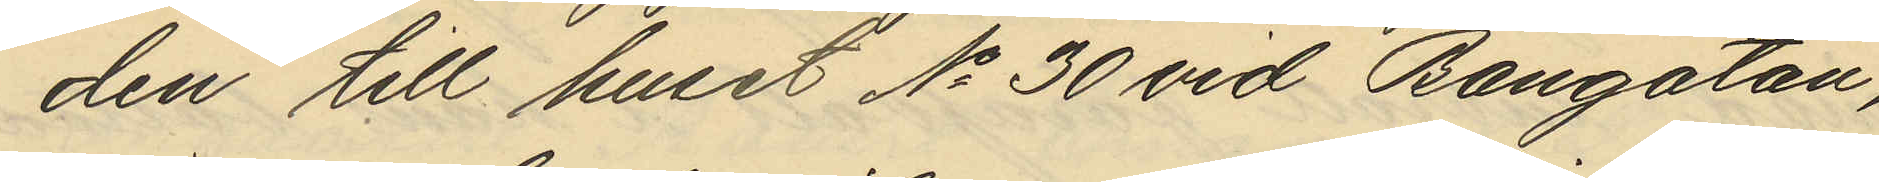den till huset No 30 vid Bangatan,
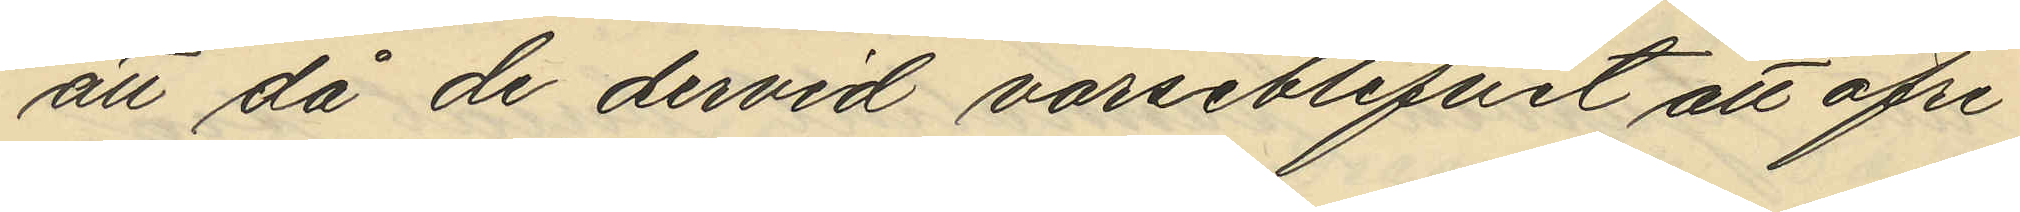att då de dervid varseblifvit att öfre
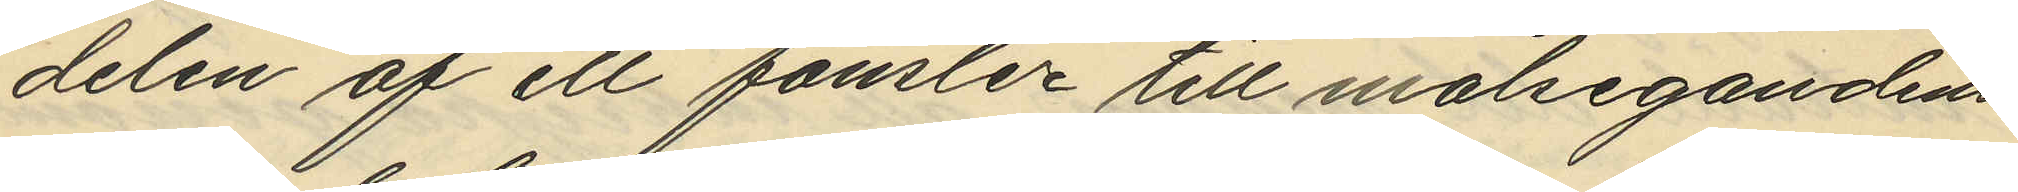delen af ett fönster till målsegandens
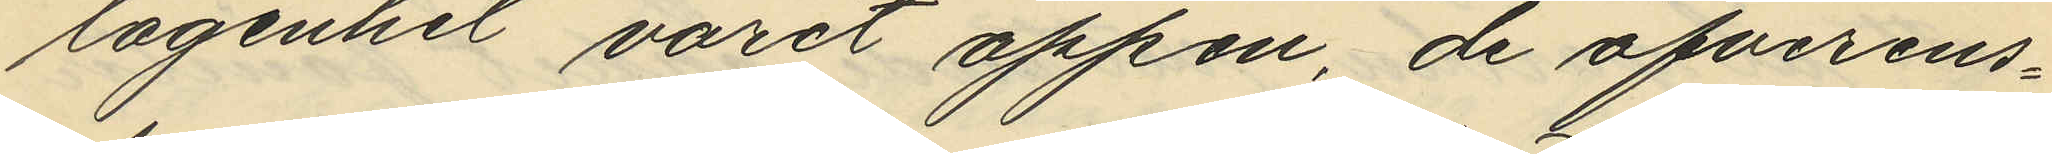lägenhet varit öppen, de öfverens¬
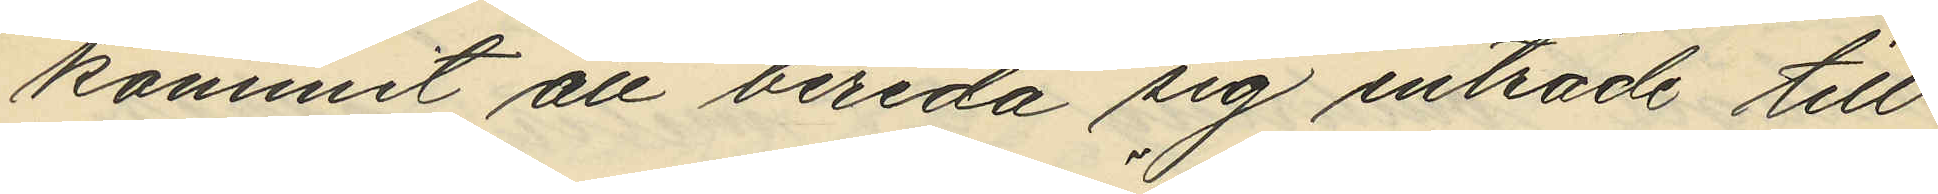kommit att bereda sig inträde till
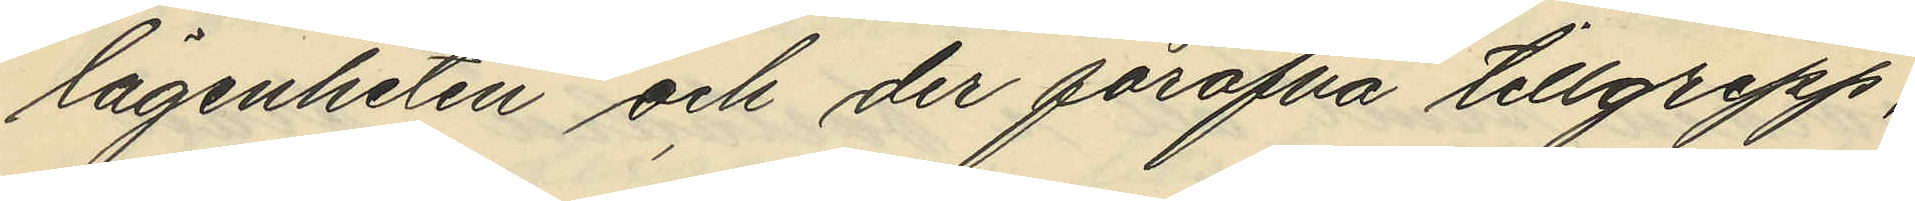lägenheten och der föröfva tillgrepp,
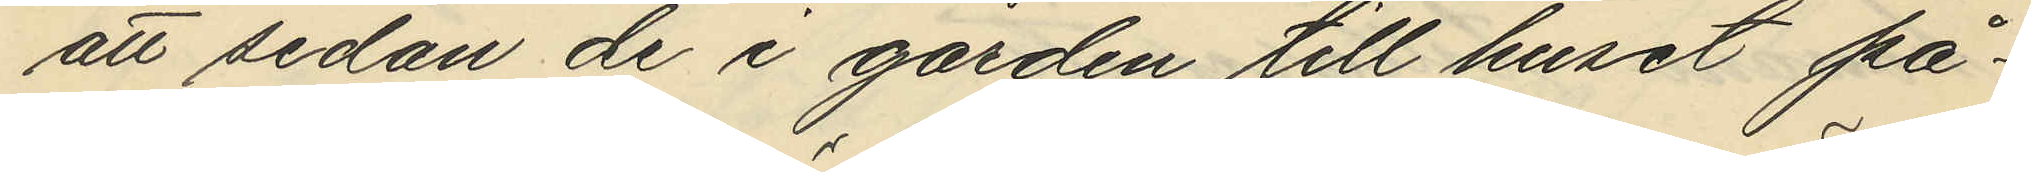att sedan de i gården till huset på¬
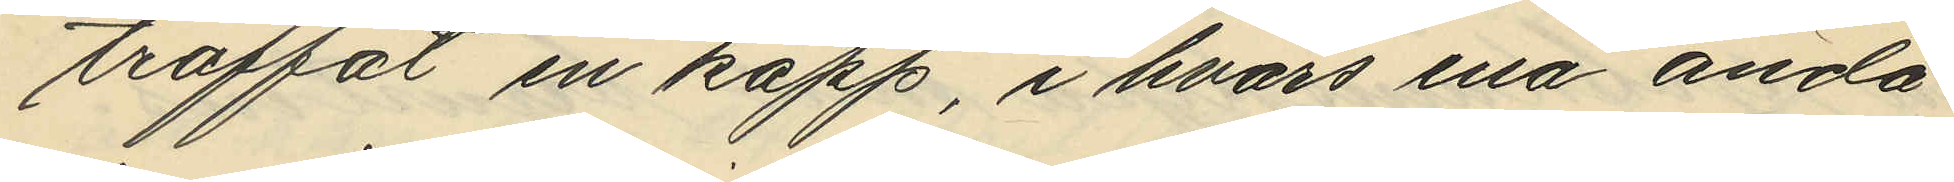träffat en käpp, i hvars ena ända
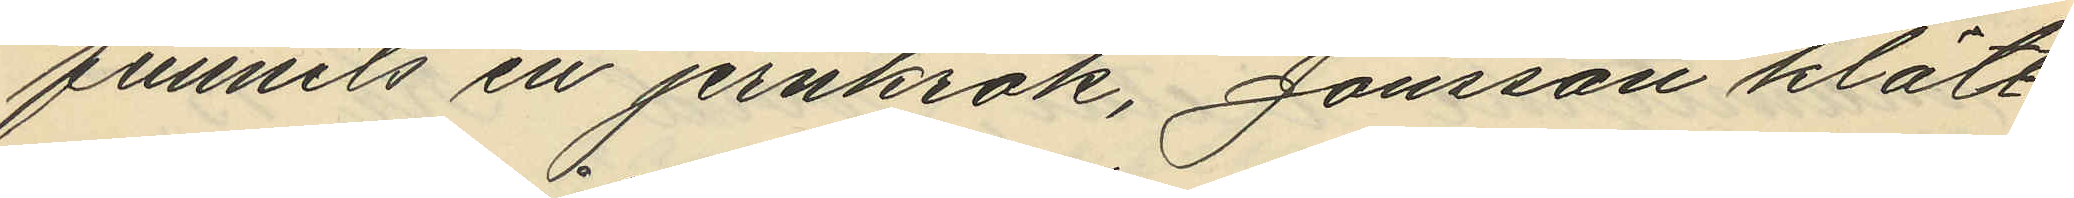funnits en jernkrok, Jönsson klätt¬
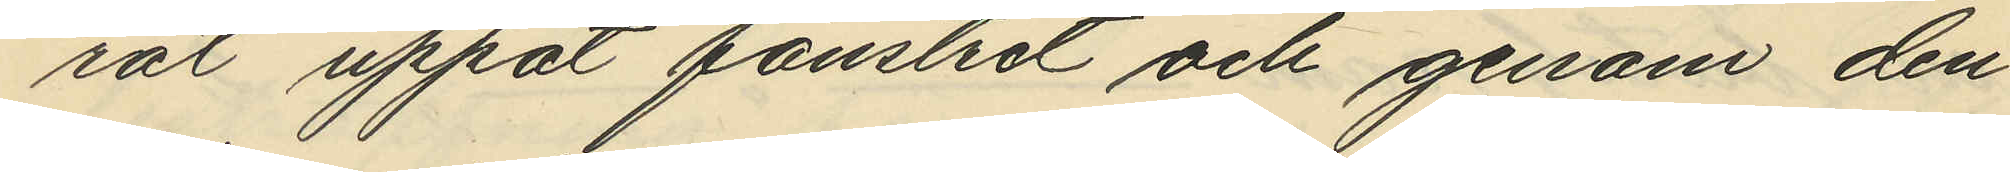rat uppåt fönstret och genom den
